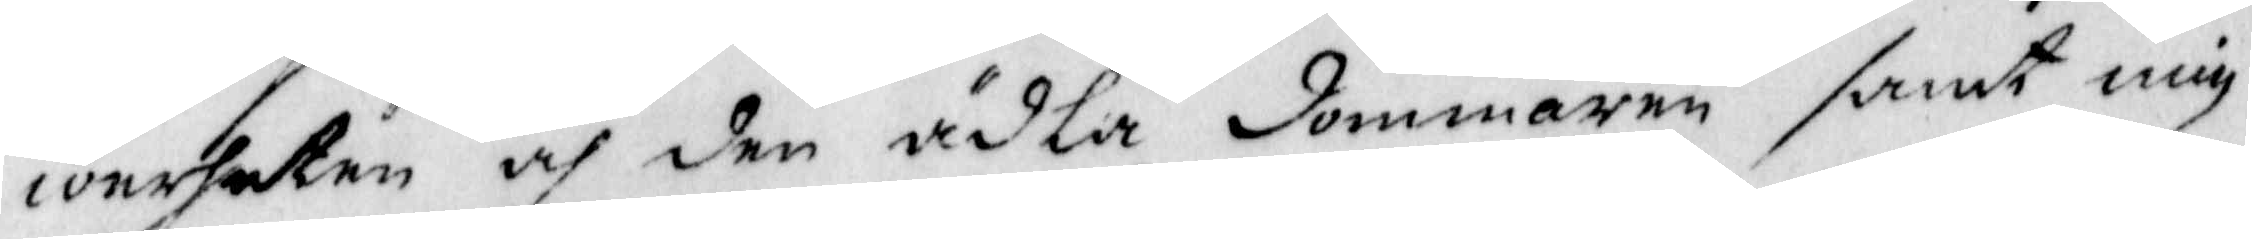werheten och den ädla dommaren samt mig
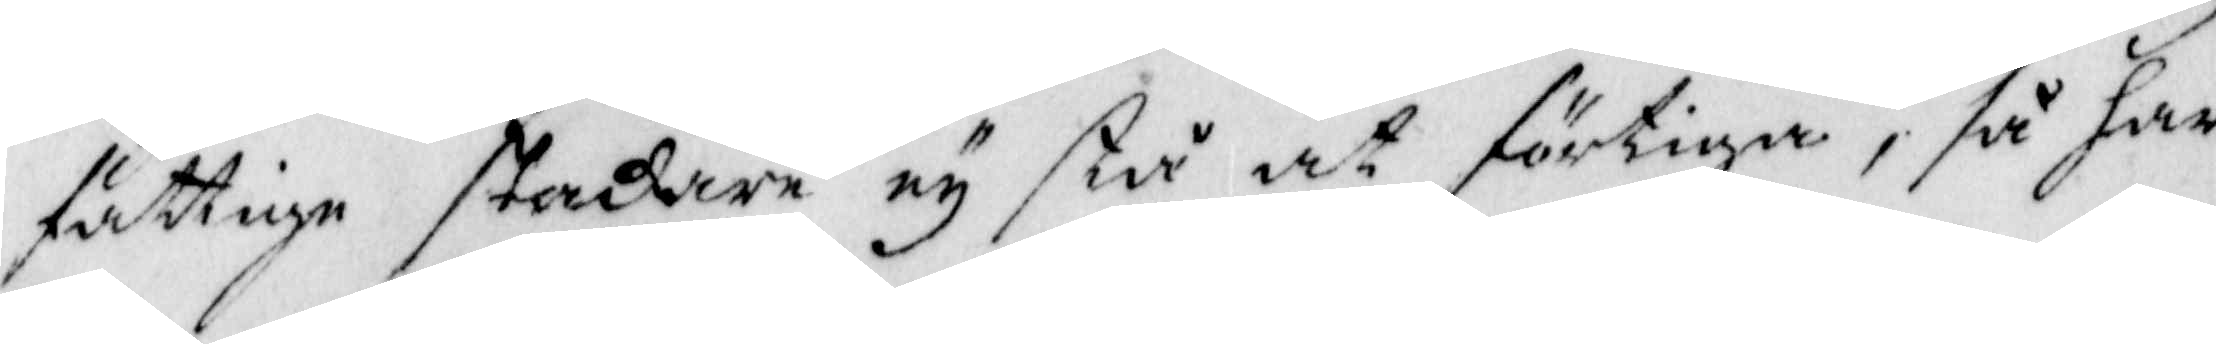fattige stakare ey stå at förtiga, så har
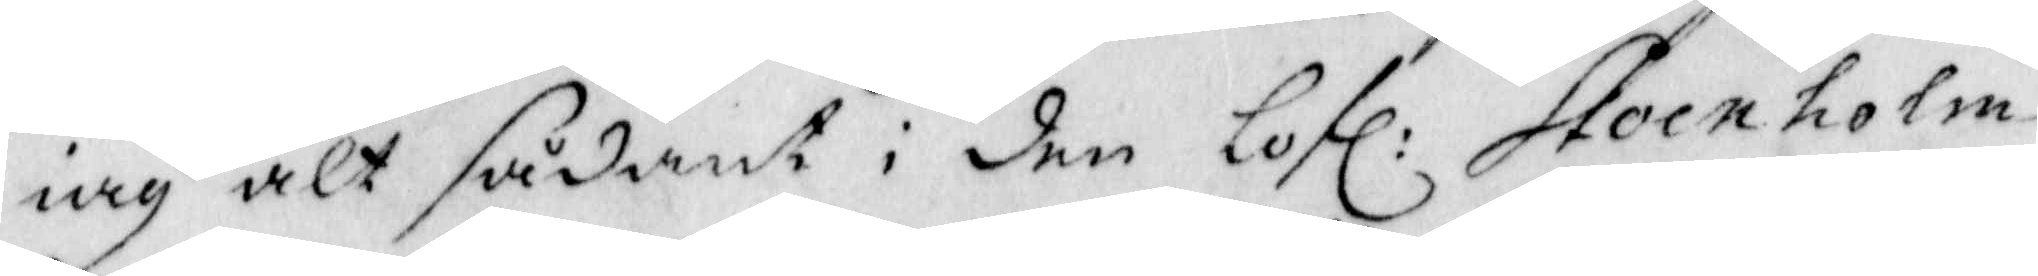iag alt sådant i den lofl: Stockholm
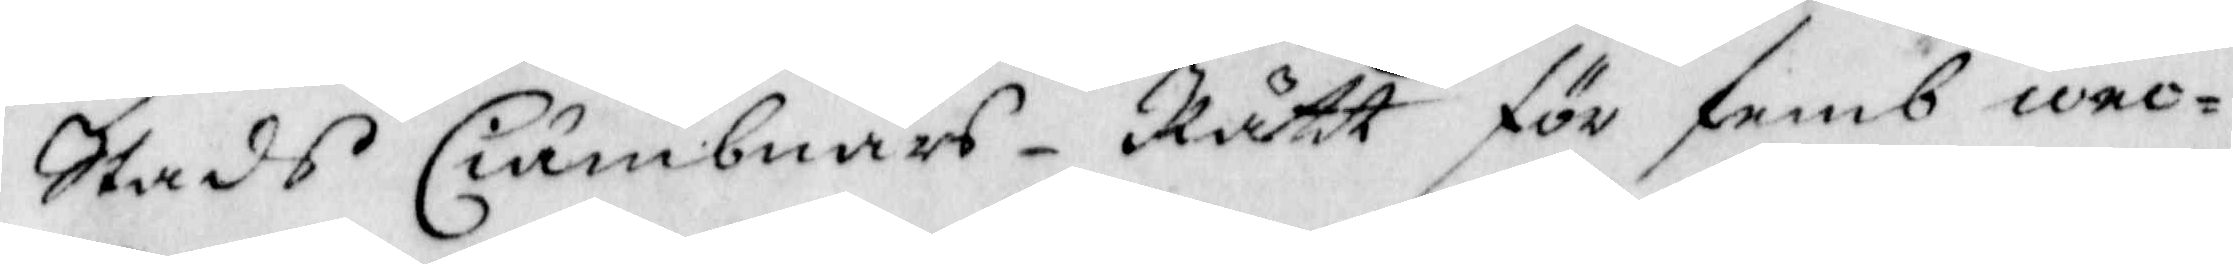Stads Ciämbnärs-Rätt för femb wec¬
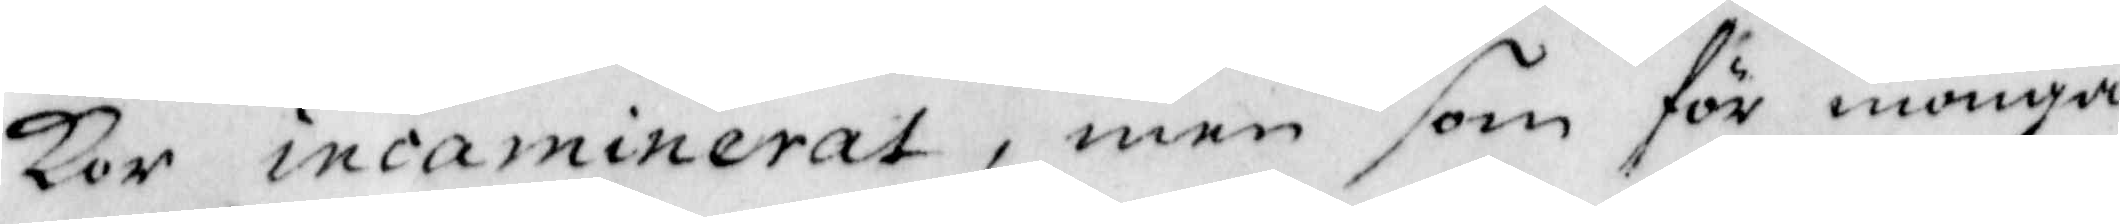kor incaminerat, men som för monga
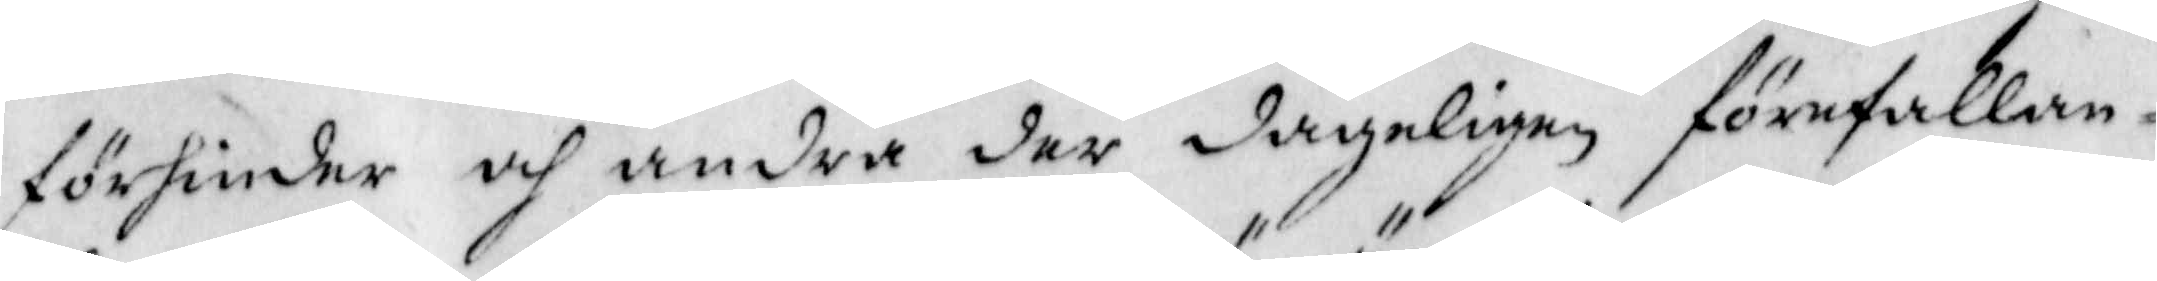förhinder och under der dageligen förefallan¬
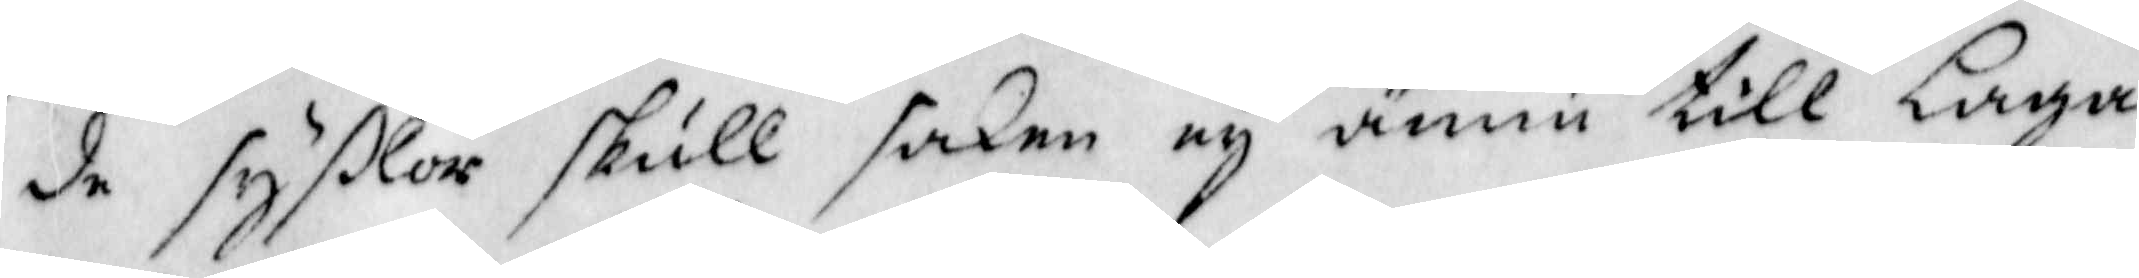de syßlor skull skaen ey ännu till Laga
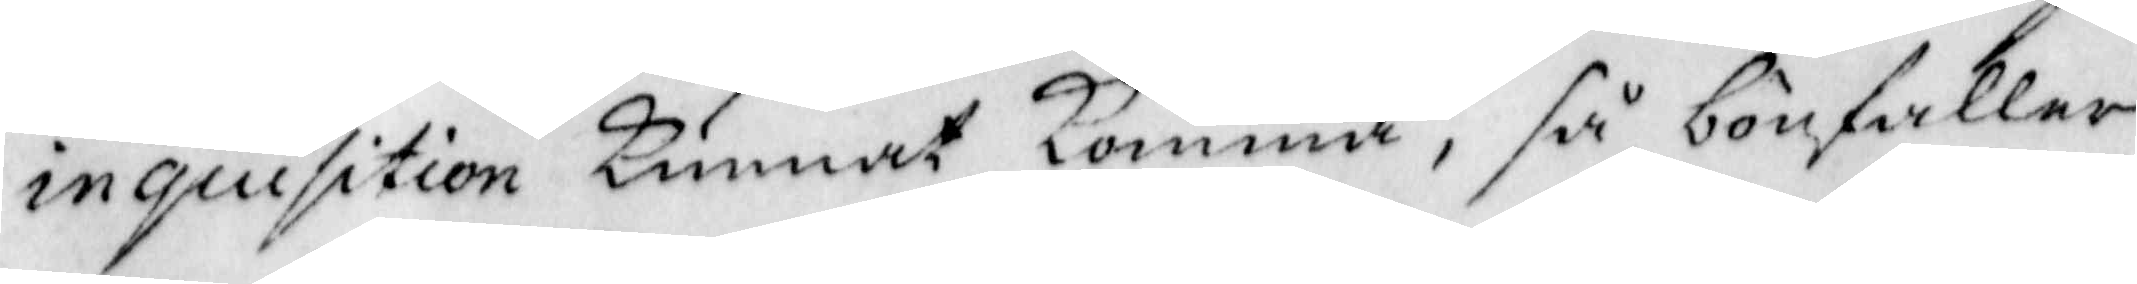inquisition Kunnat Komma, så bönfaller
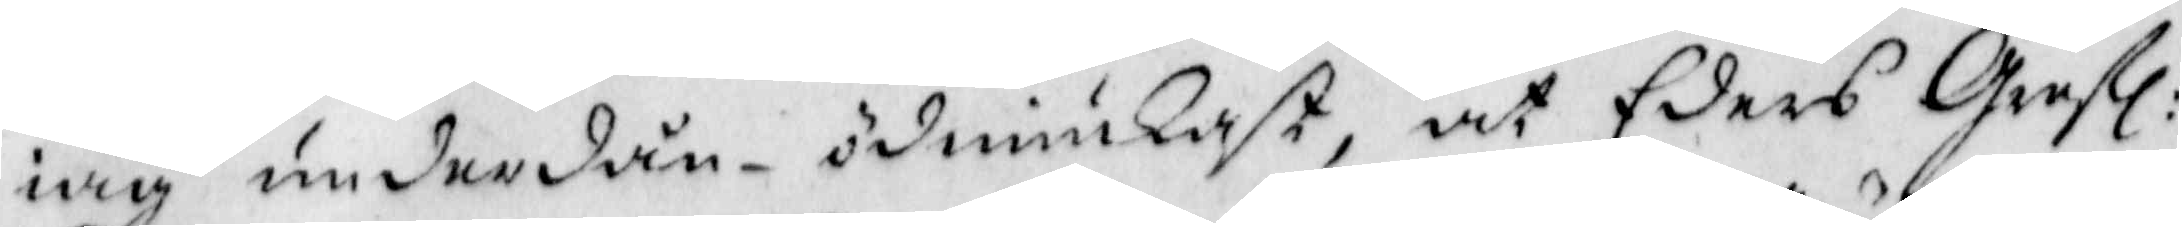iag underdån-ödmiukast, at Eders Grefl:
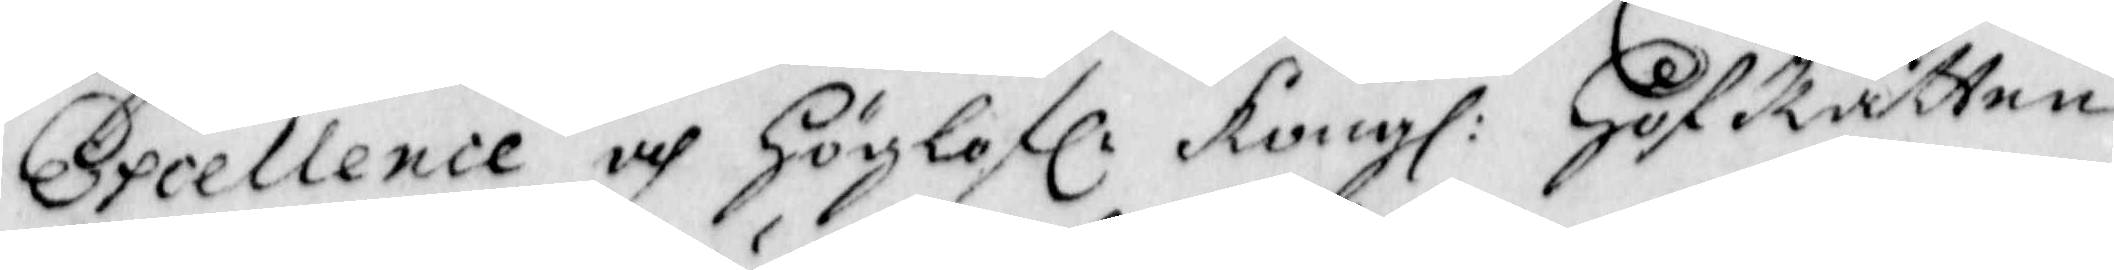Excellence och Höglofl: Kongl: HofRätten
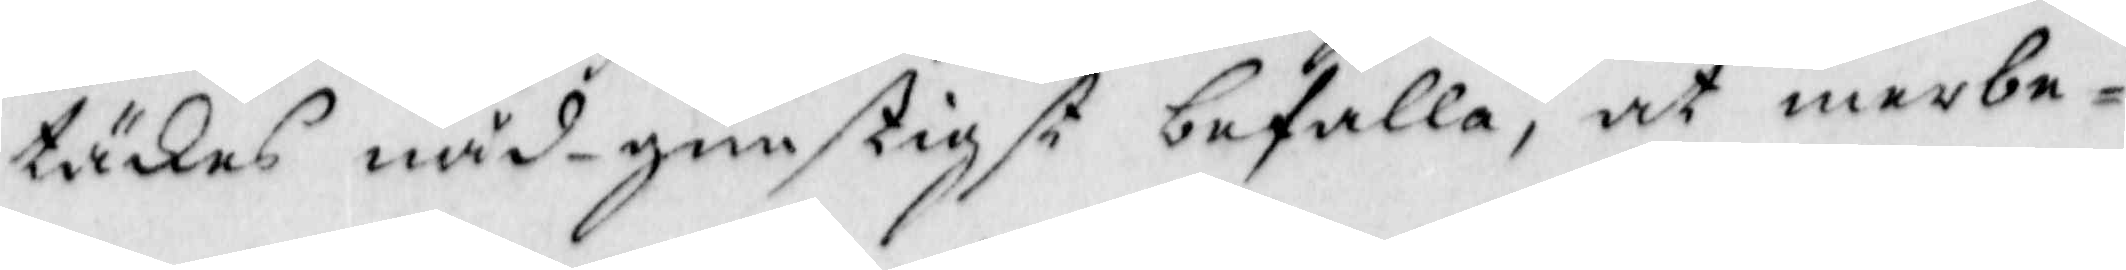täkes nåd-gunstigst befalla, at merbe¬
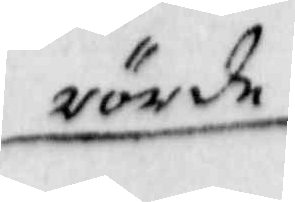rörde
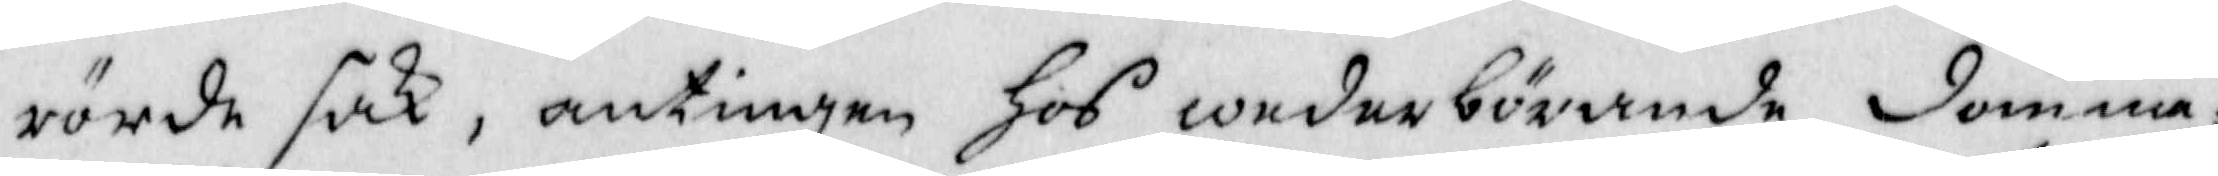rörde sak, antingen Hos wederbörande domma¬
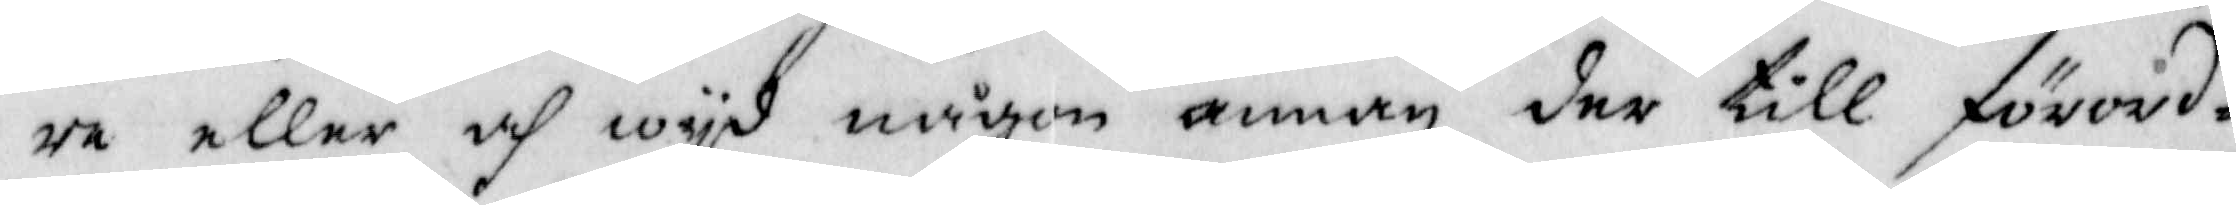re eller och wyd någon annan der till förord¬
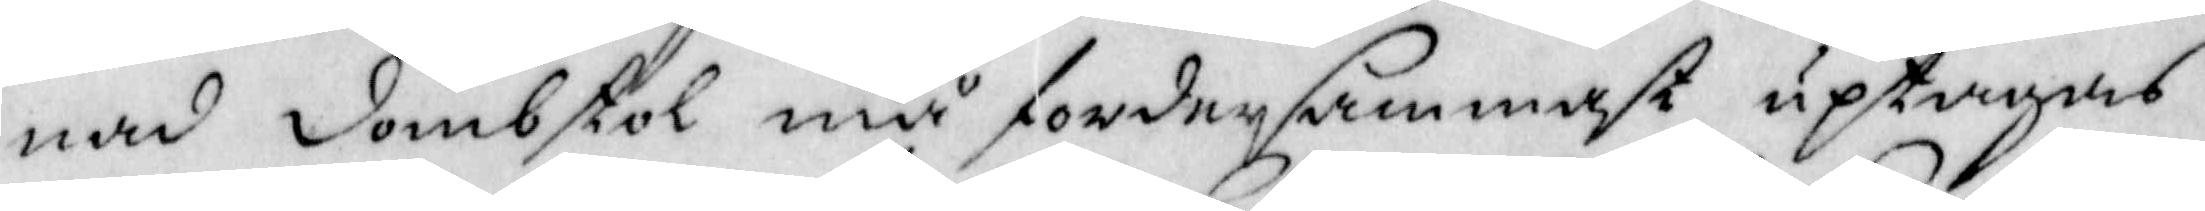nad dombstol må fordersammast uptagas
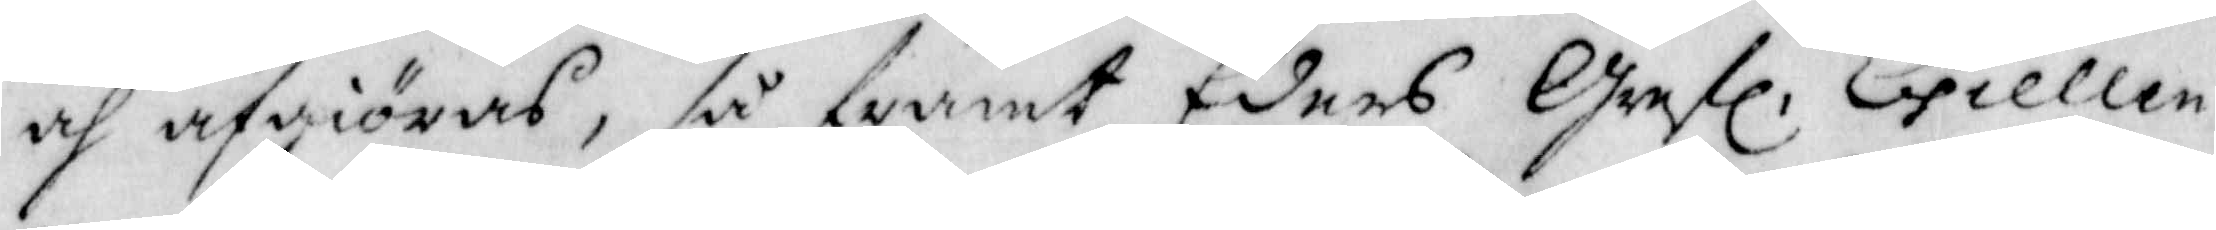och afgiöras, så framt Eders Grefl: Excellen¬
